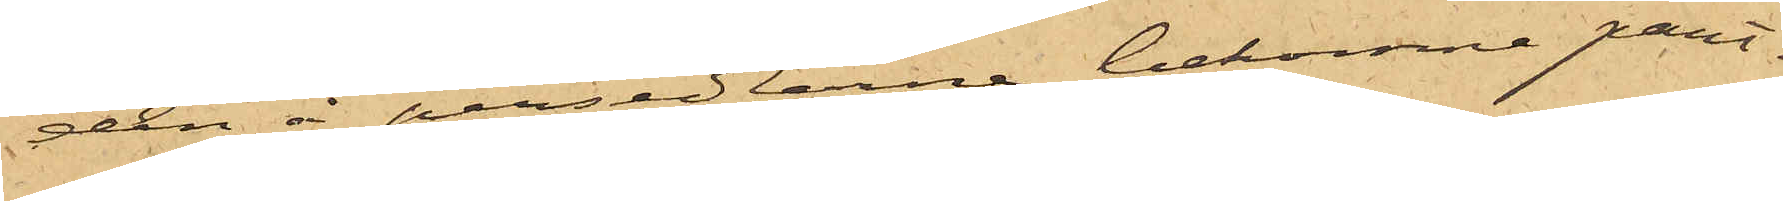den å persedlarne bekomne pant¬
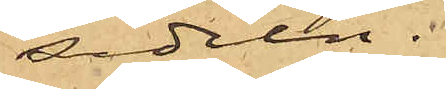sedeln.
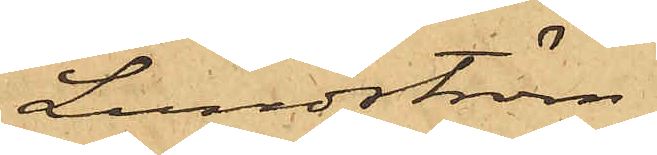Lundström.
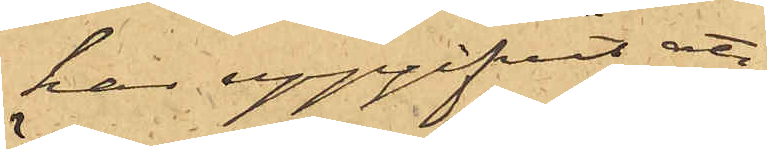har uppgifvit att
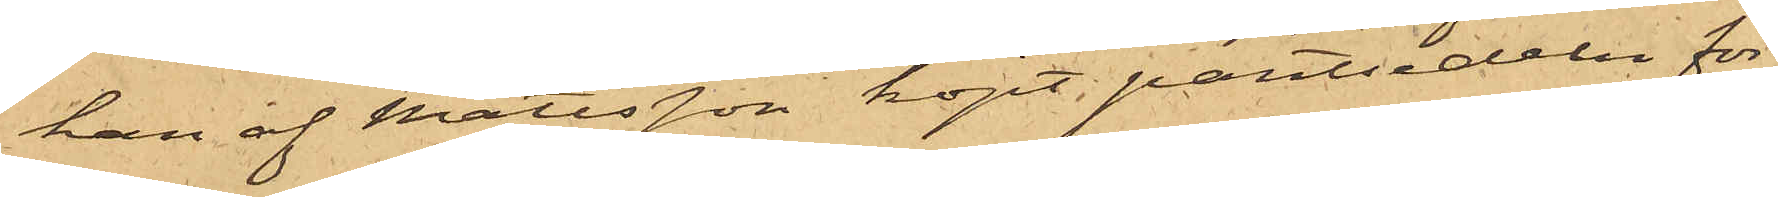han af Mattsson köpt pantsedeln för
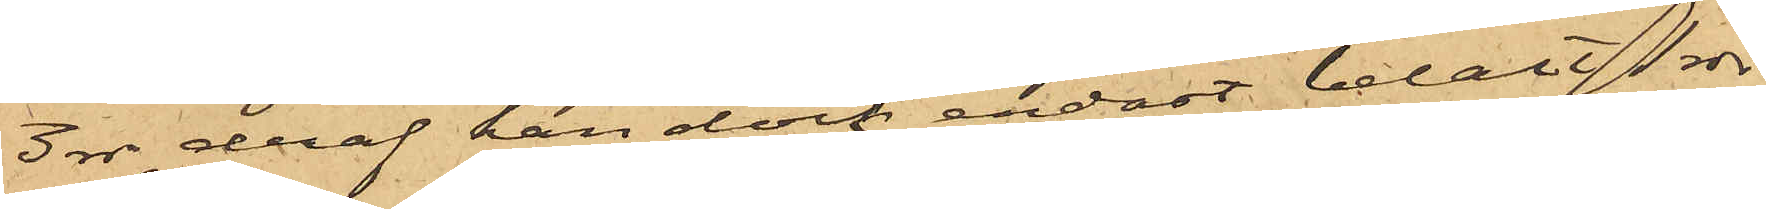3 rdr, deraf han dock endast betalt 1 rdr
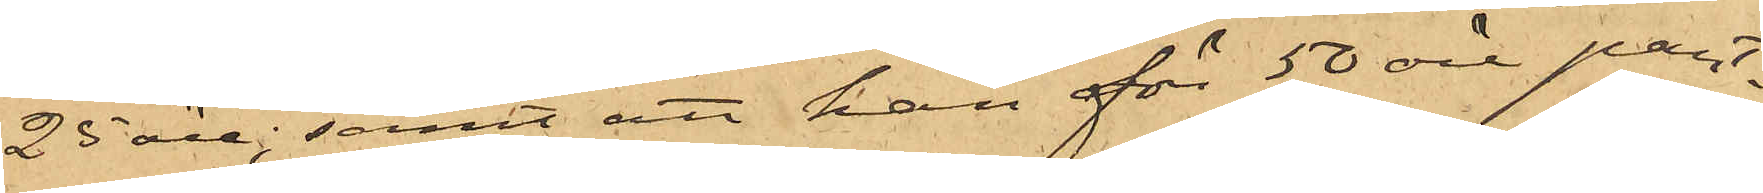25 öre; samt att han för 50 öre pant¬
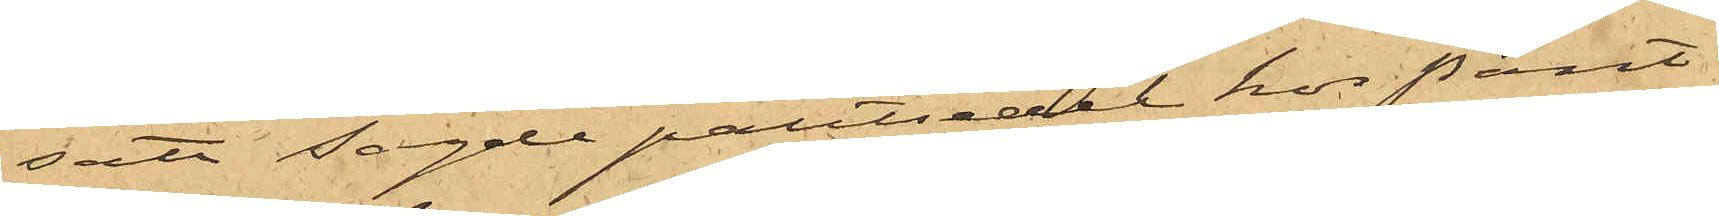satt sagde pantsedel hos Pant¬
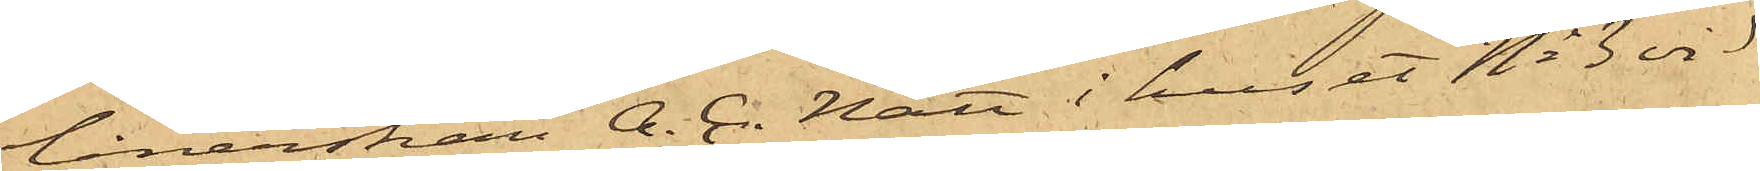lånerskan A. C. Nätt i huset No 3 vid
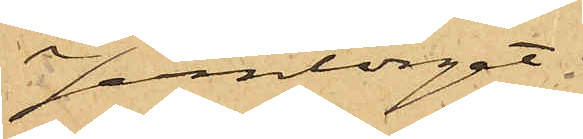Jerntorget.
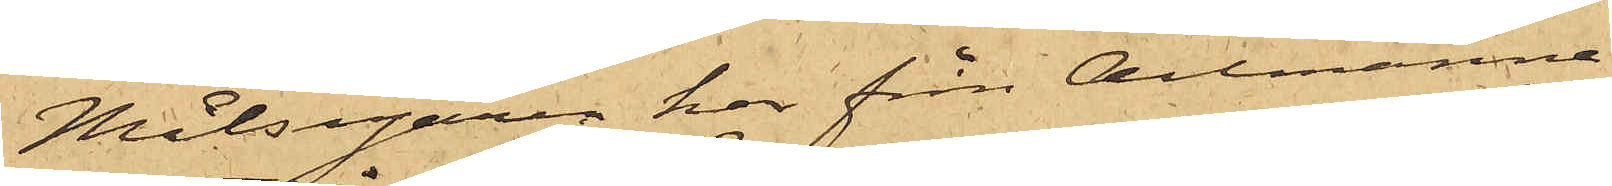Målsegaren har från Allmänna
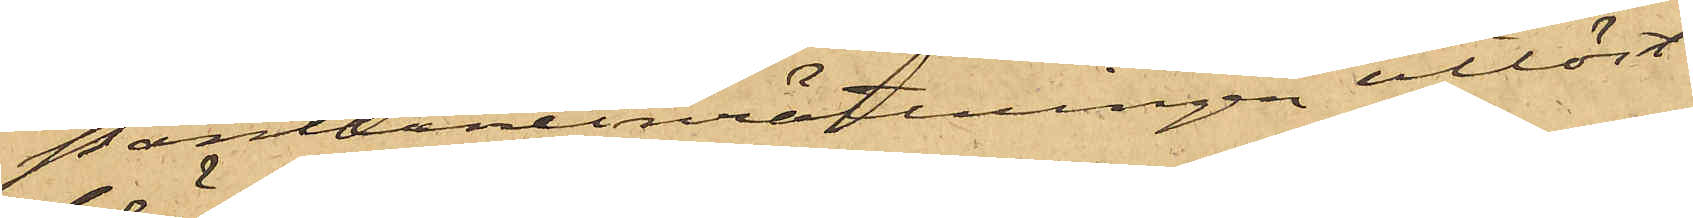Pantlåneinrättningen utlöst
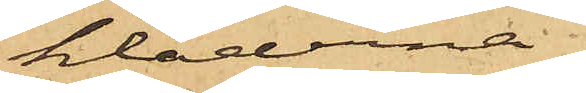kläderna.
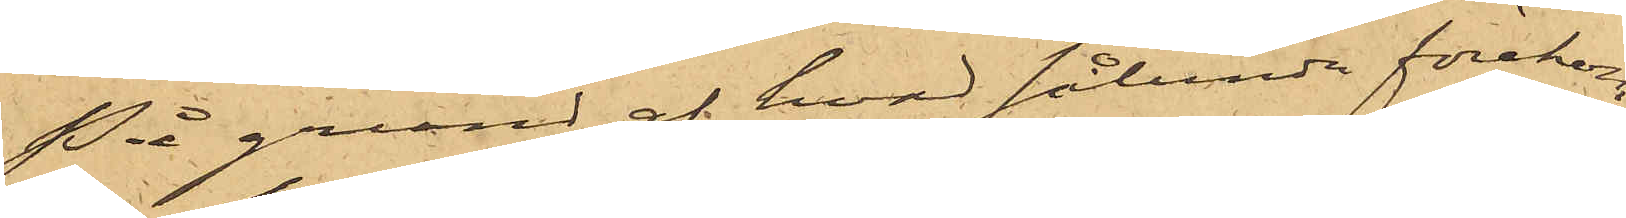På grund af hvad sålunda förekom¬
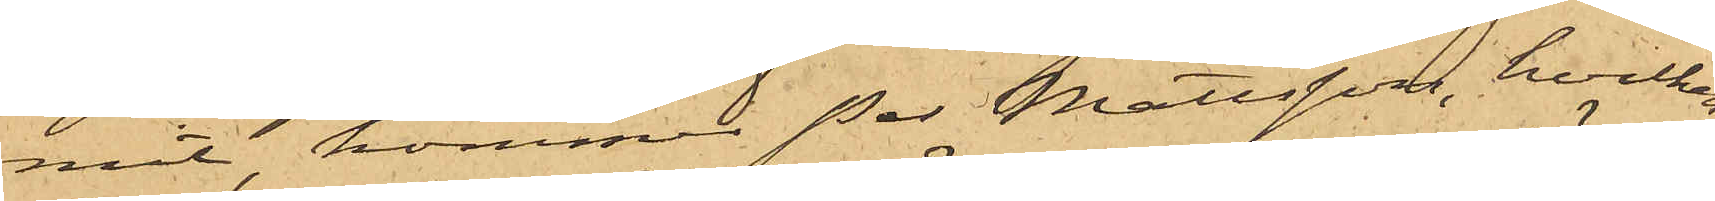mit, kommer Per Mattsson, hvilken
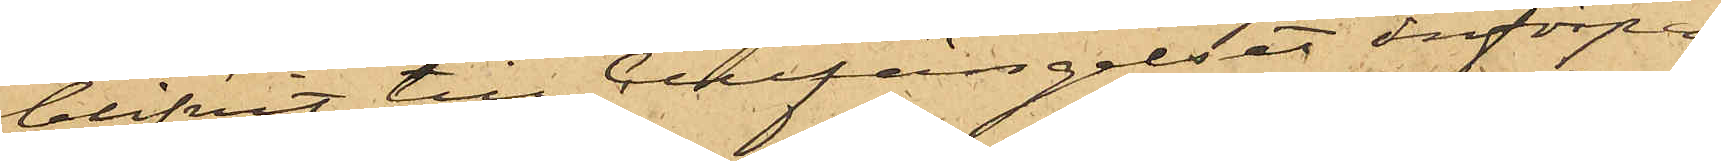blifvit till Cellfängelset införpas¬
